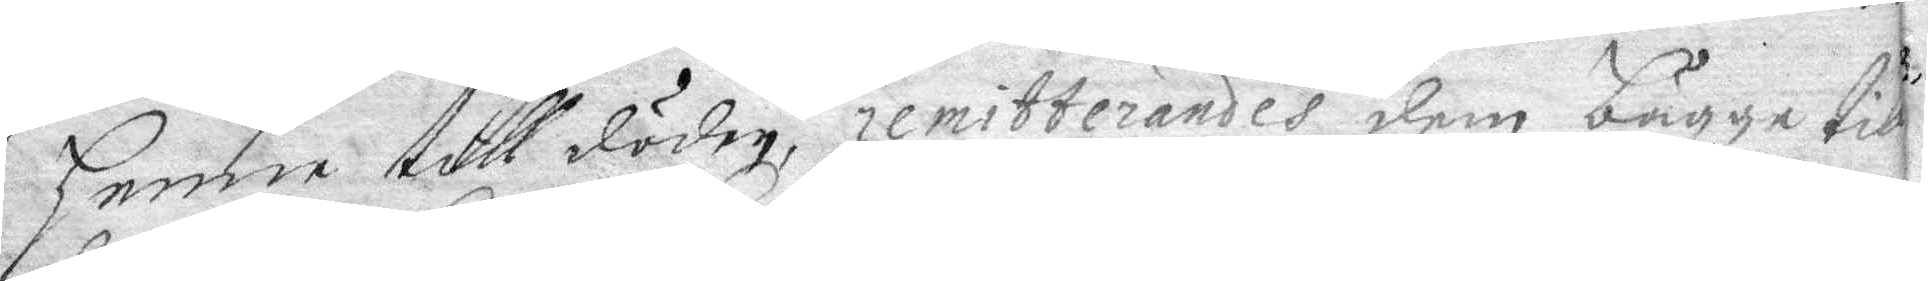henne till döden, remitterandes dem bägge  till
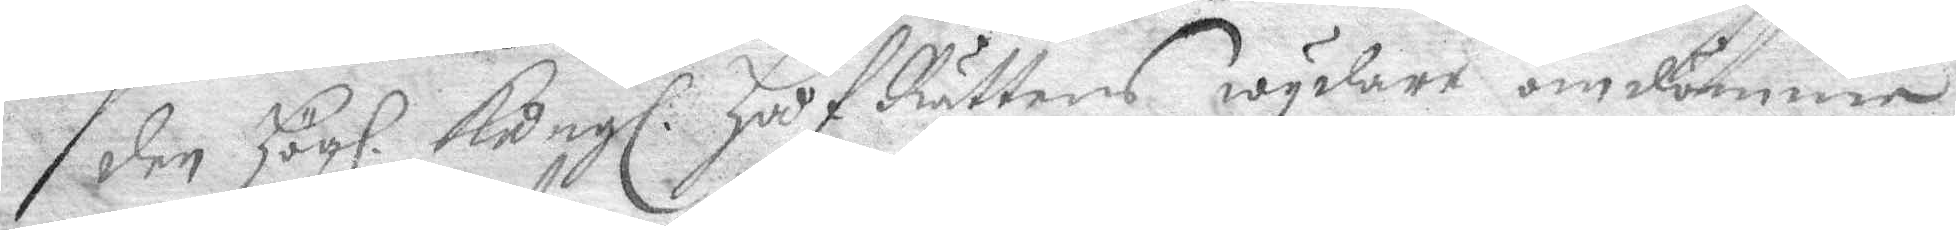den Högl. Kongl. HåfRättens wydare omdömme
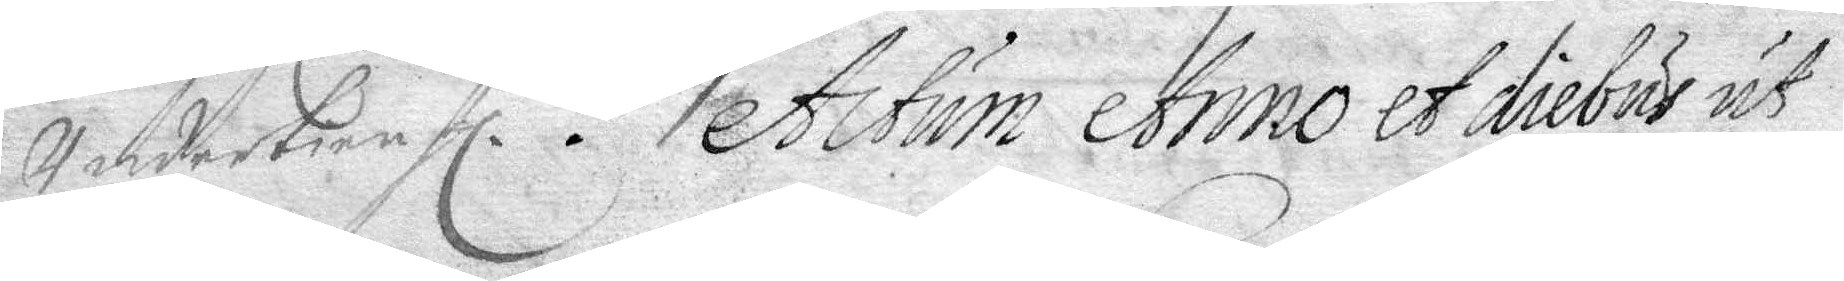Undertienhl. Actum Anno et diebus ut
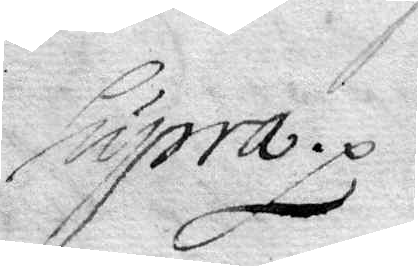Supra.
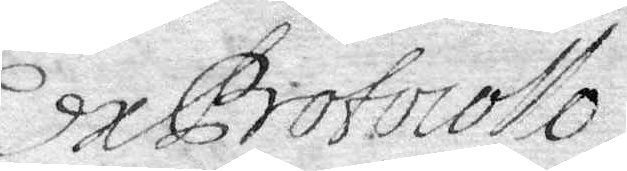ExProtocollo
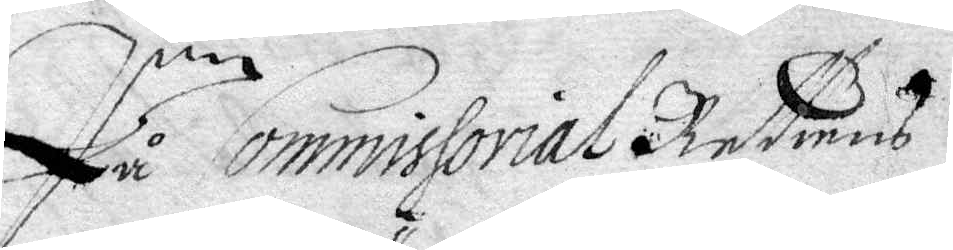På Commissorial Rättens
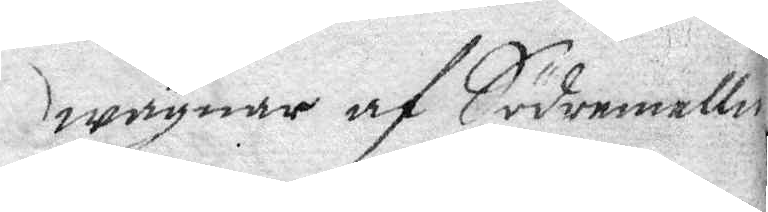wägnar af Södermallm
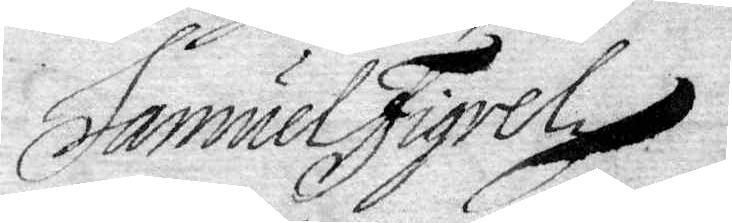Samuel Figrel
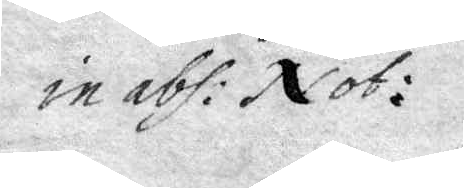in abs: Not:
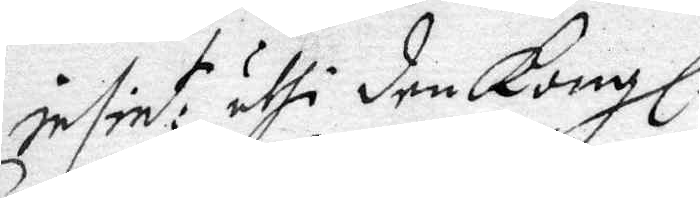insint: uthi den Kongl.
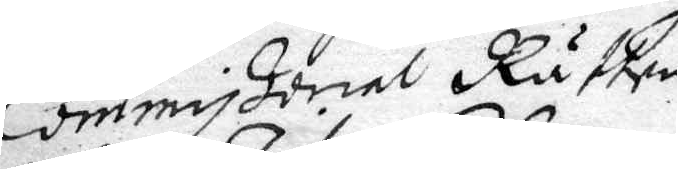Commissorial Rätten
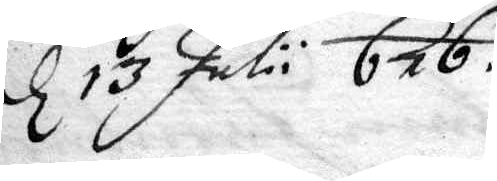d 13 Julu 676.
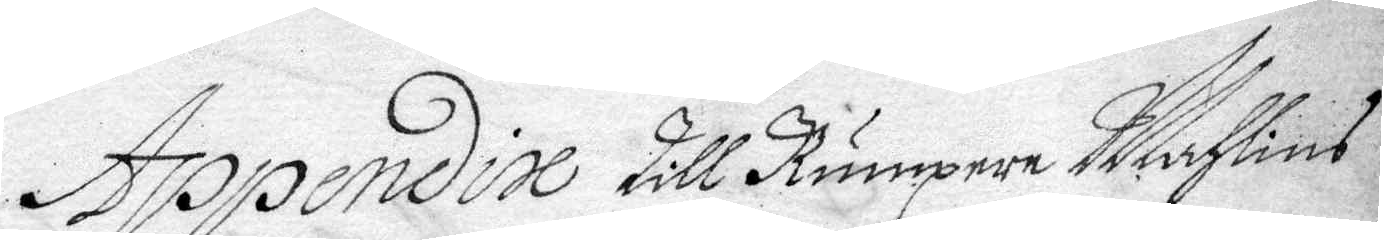Appendise till Rumpare Mahlind
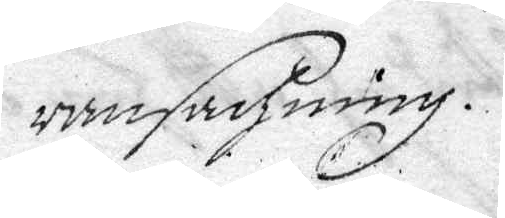ransachning.
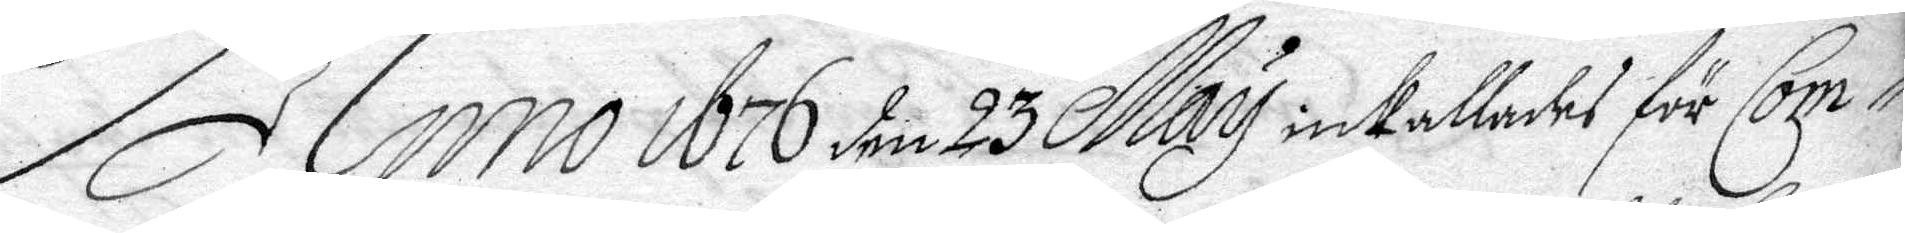Anno 1676 den 23 May inkallades för Com¬
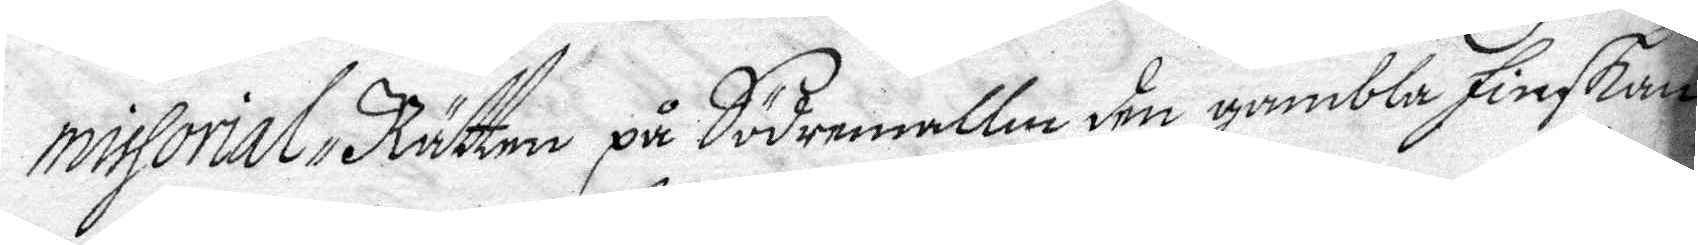missorial Rätten på Södermallm den gamble finskan
